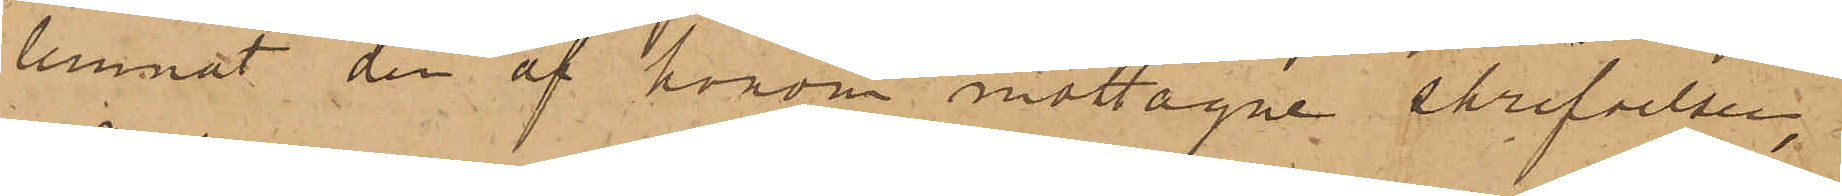lemnat den af honom mottagne skrifvelsen,
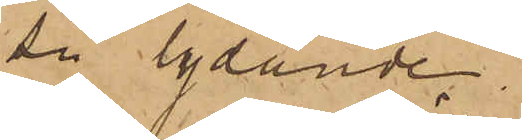så lydande
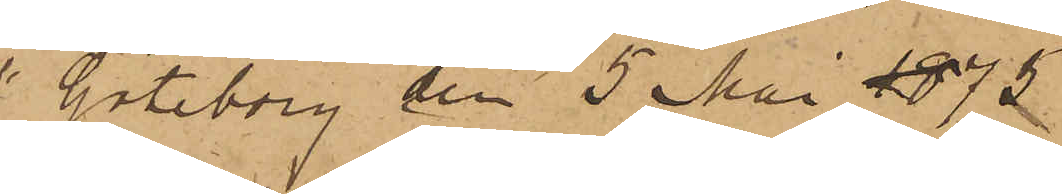"Göteborg den 5 Mai1873.
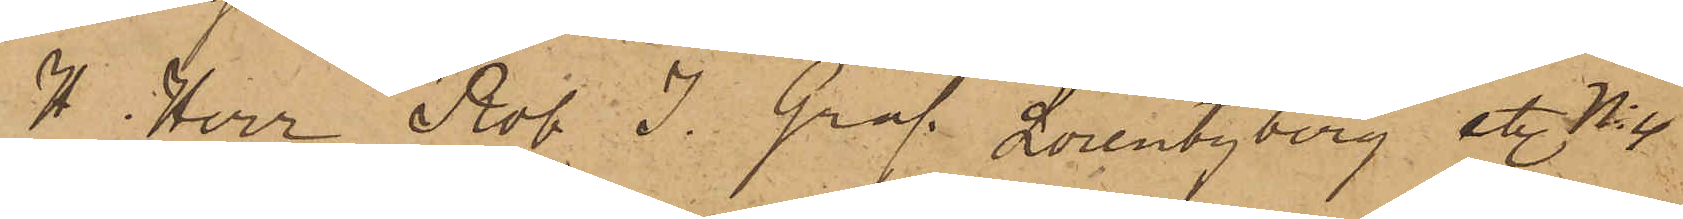H Herr Rob. J. Graf Lorentzberg etc No 4.
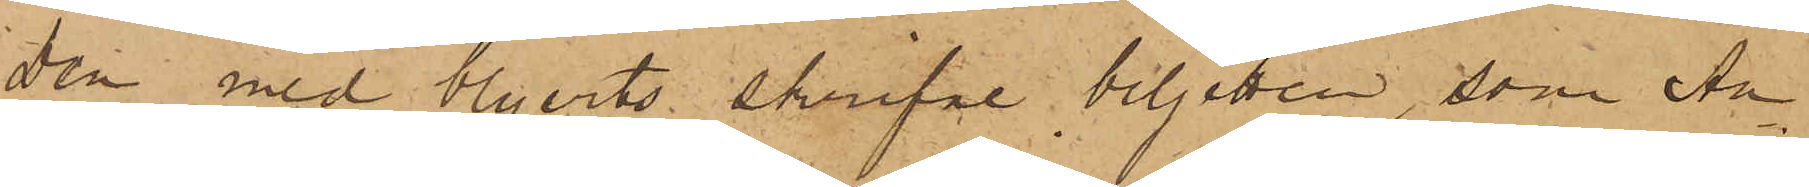Den med blyerts skrifne biljetten, som An¬
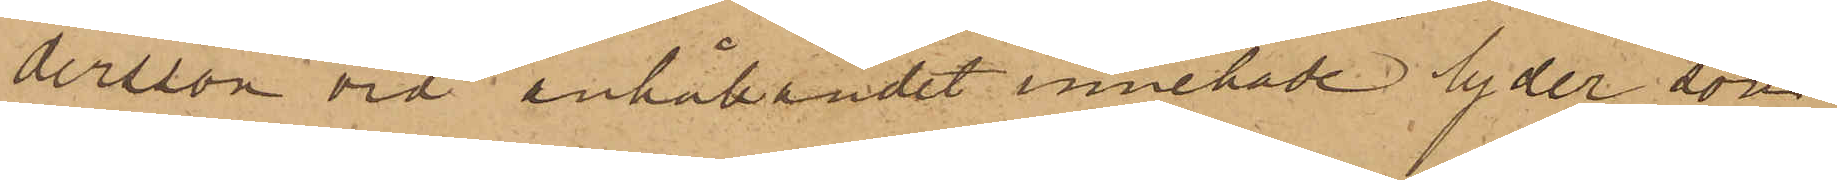dersson vid anhållandet innehade lyder, som
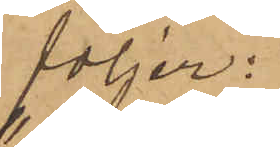följer;
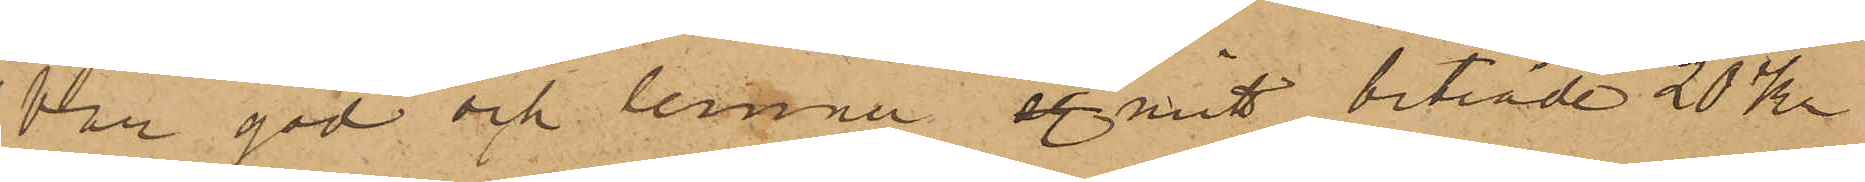"Var god och lemna eg mitt biträde 20 kr
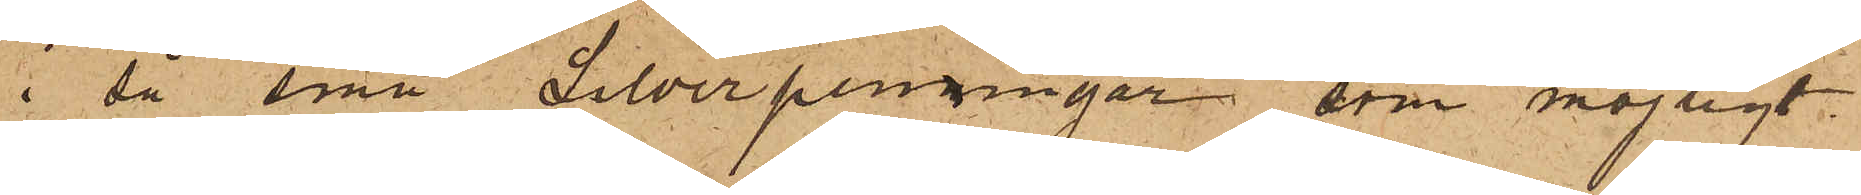i så små Silverpenningar som möjligt
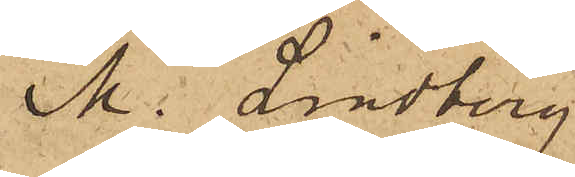M. Lindberg
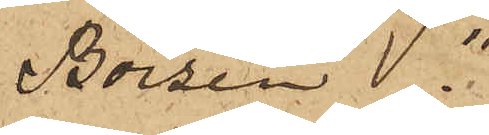Börsen."
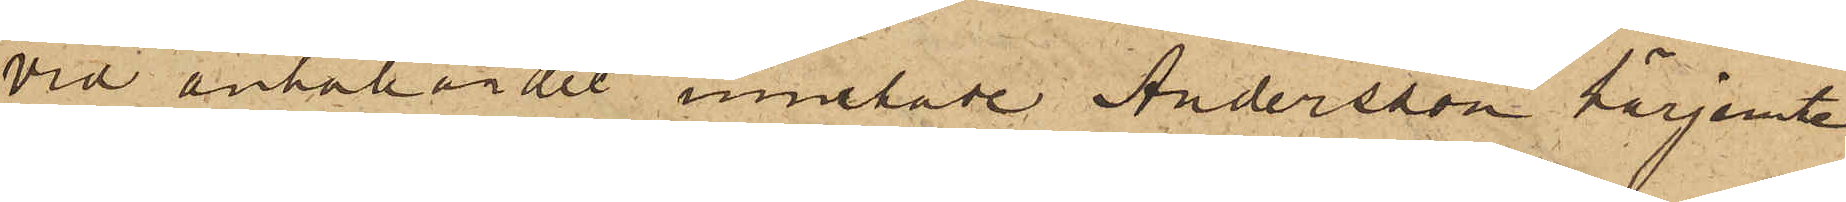Vid anhållandet innehade Andersson härjemte
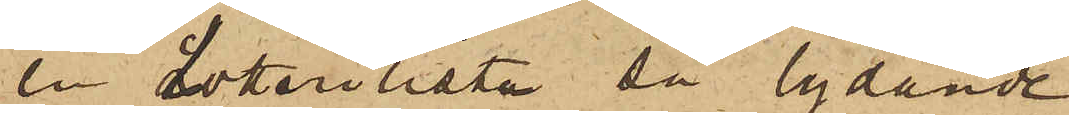en Lotterilista så lydande
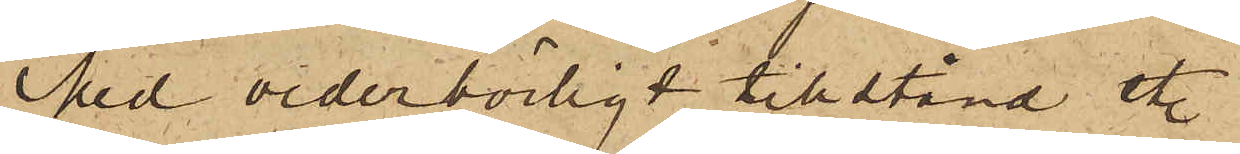"Med vederbörligt tillstånd etc
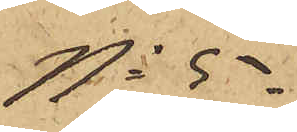No 5
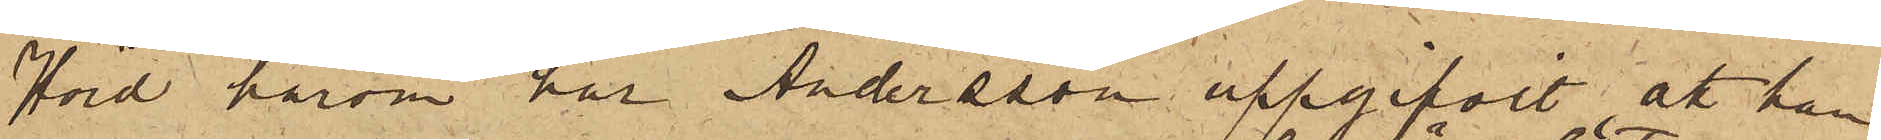Hörd härom har Andersson uppgifvit att han
